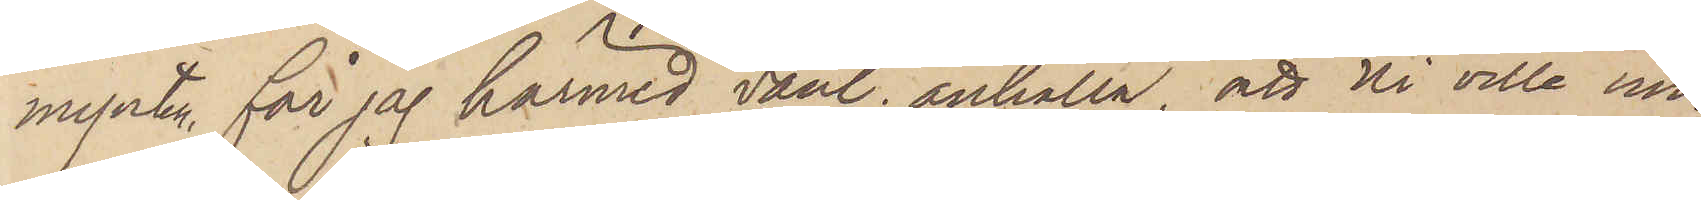mynten, får jag härmed vänl. anhålla, att Ni ville un¬
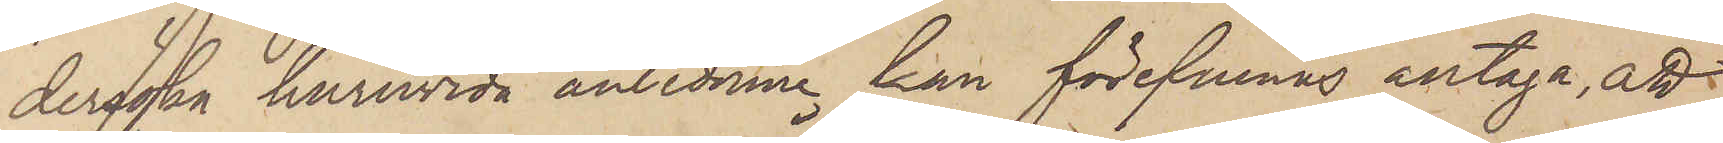dersöka huruvida anledning kan förefinnes antaga, att
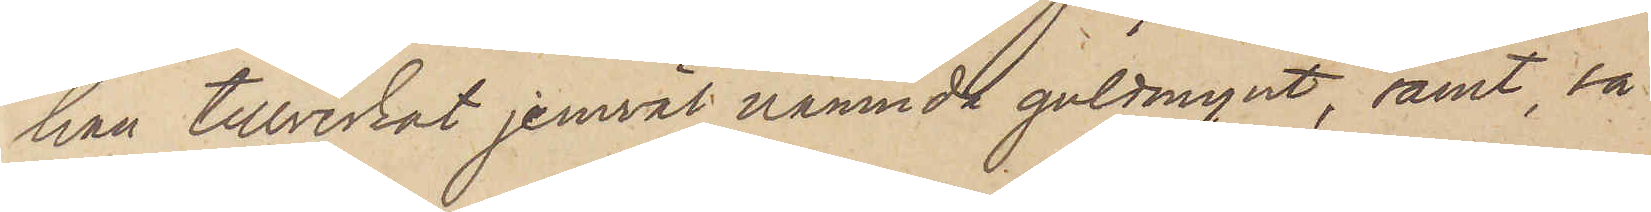han tillverkat jemväl nämnda guldmynt, samt, så
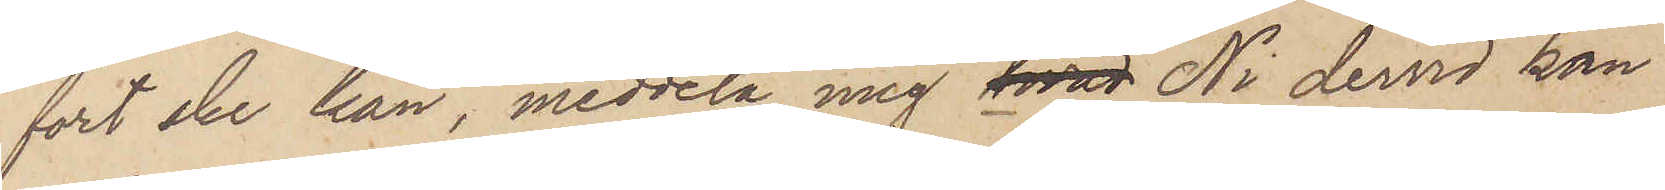fort ske kan, meddela mig hvad Ni dervid kan
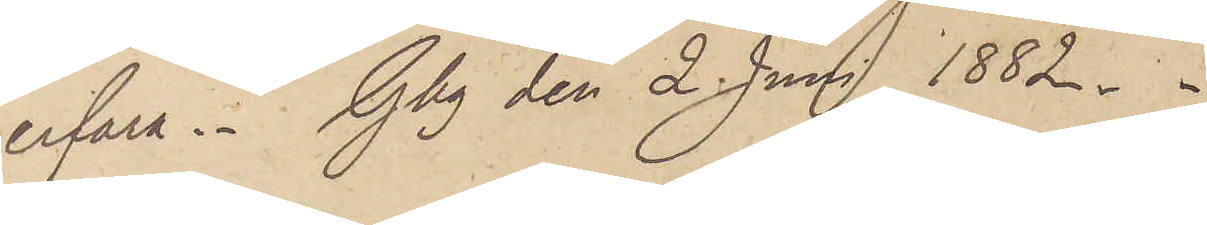erfara. Gbg den 2 Juni 1882.
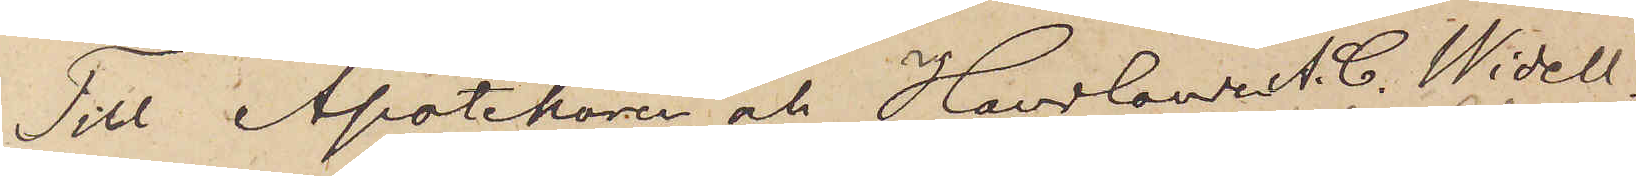Till Apotekaren och Handlande C. Widell.
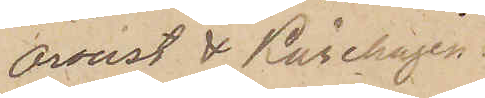Oroust & Kårehagen.
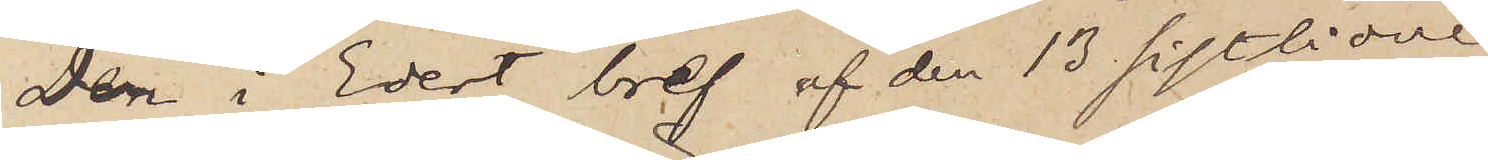Den i Edert bref af den 13 sistlidne
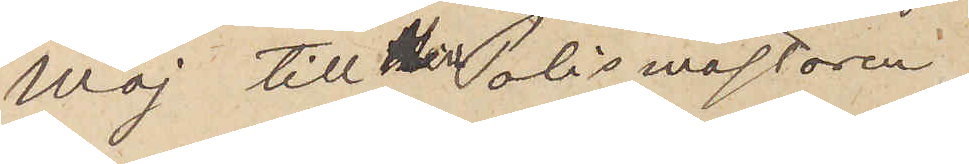Maj till Polismästaren
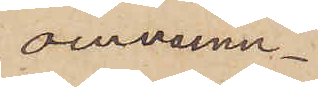omnämn¬
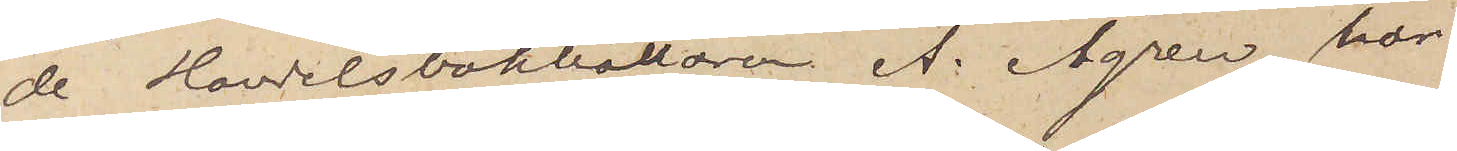de Handelsbokhållaren A. Ågren har
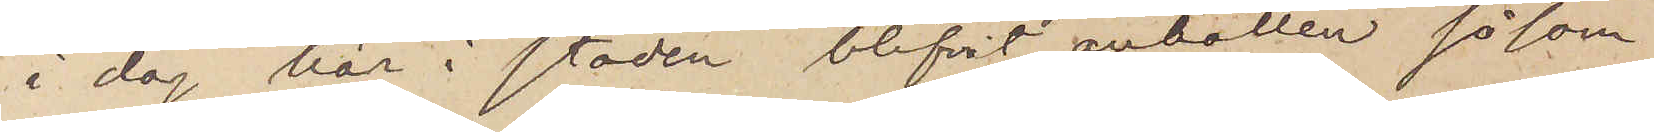i dag här i staden blifvit anhållen såsom
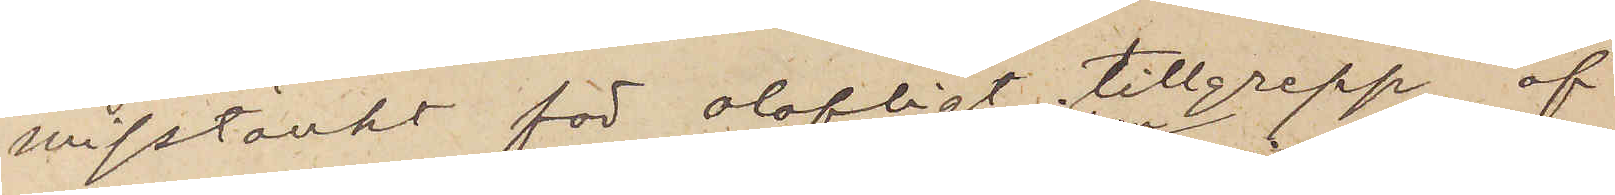misstänkt för olofligt tillgrepp af
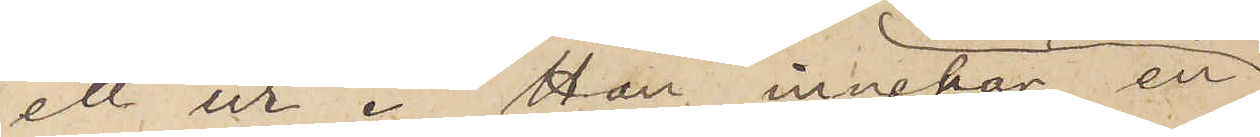ett ur. Han innehar en
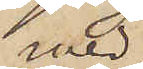med
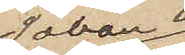Johan
